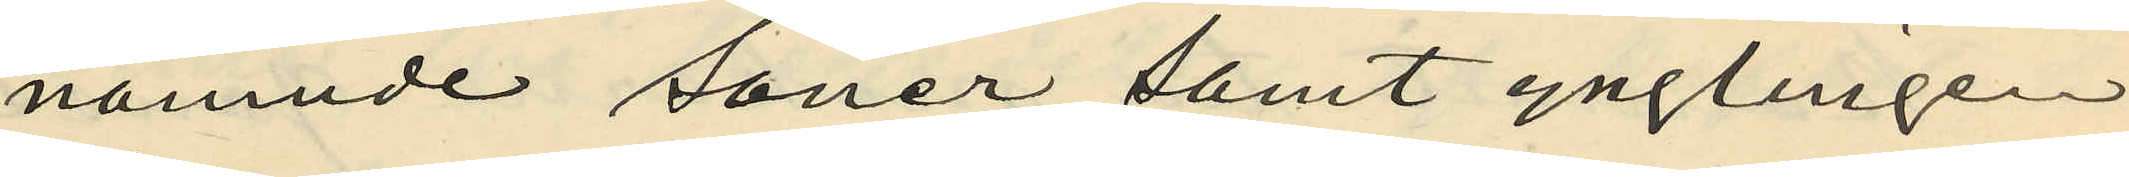nämnde söner samt ynglingen
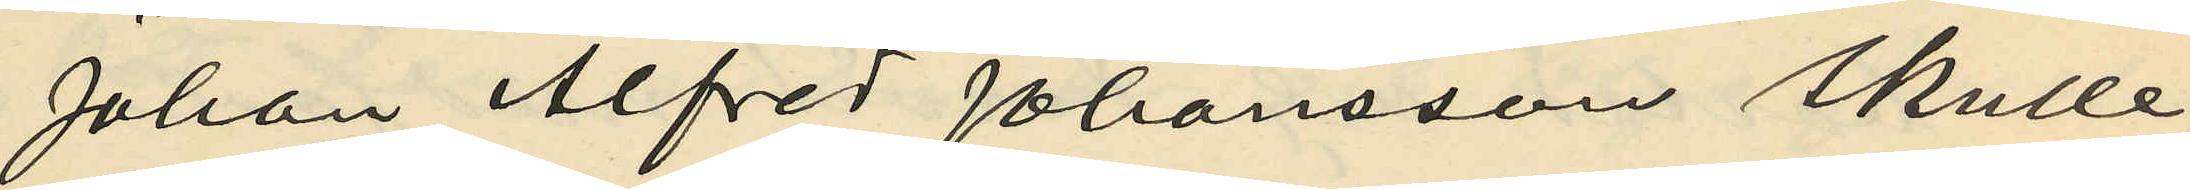Johan Alfred Johansson skulle
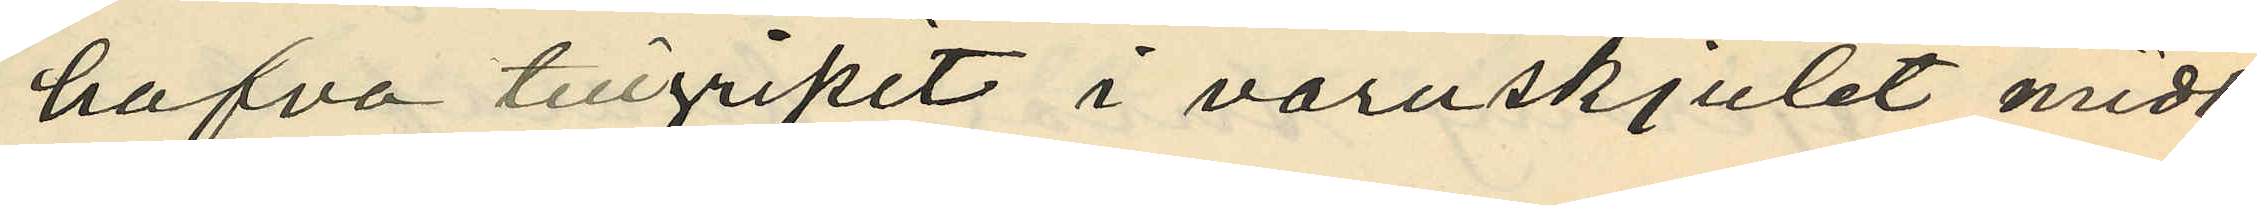hafva tillgripit i varuskjulet midt¬
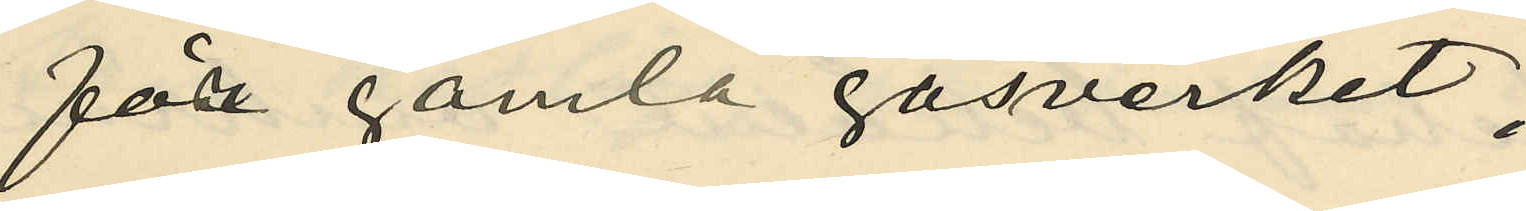för gamla gasverket;
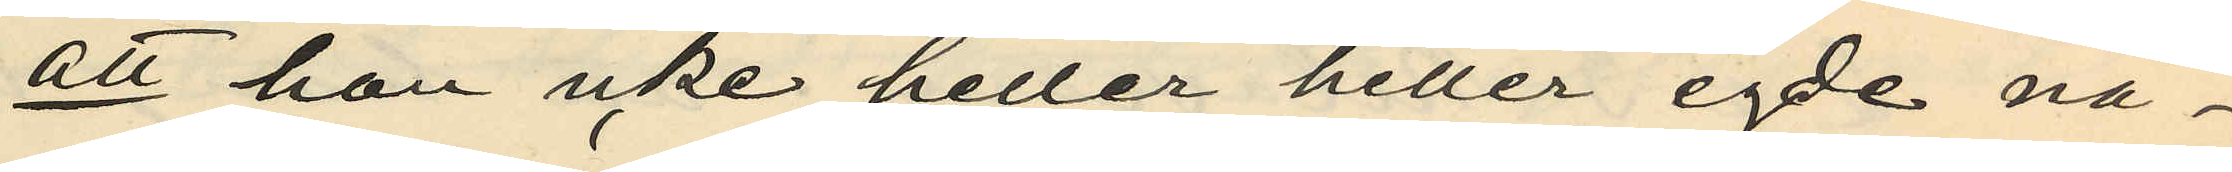att hon icke heller heller egde nå¬
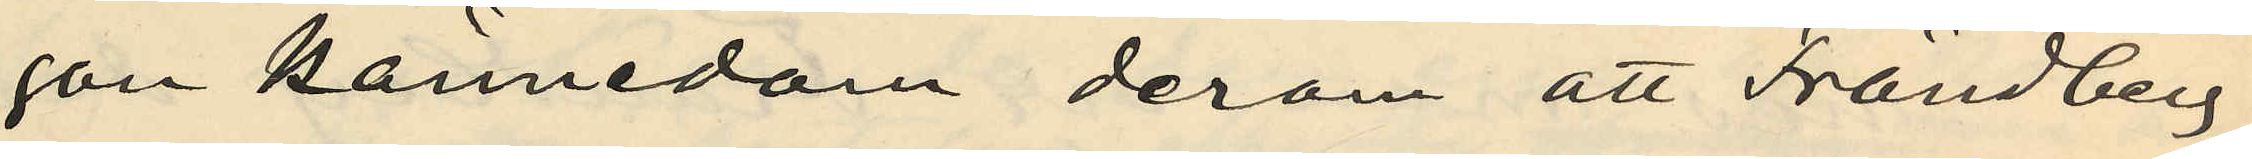gon kännedom derom att Frändberg
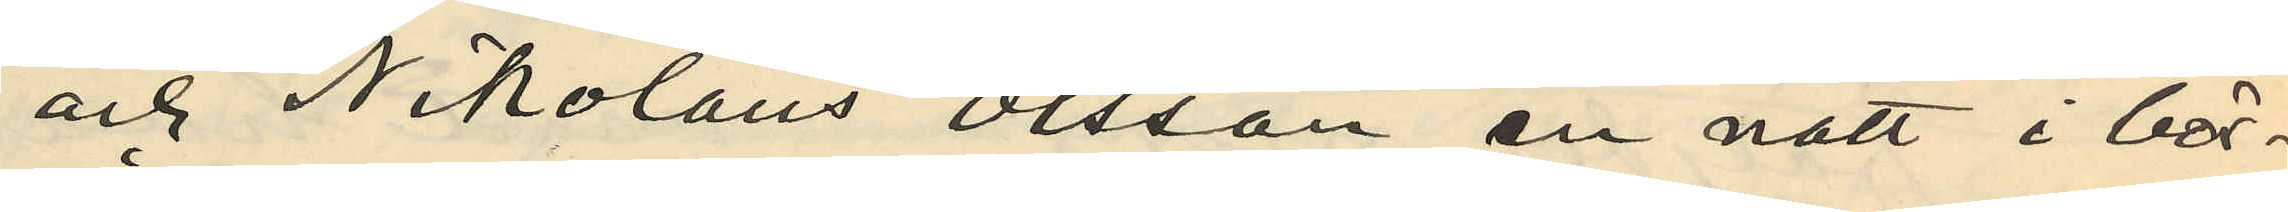och Nikolaus Olsson en natt i bör¬
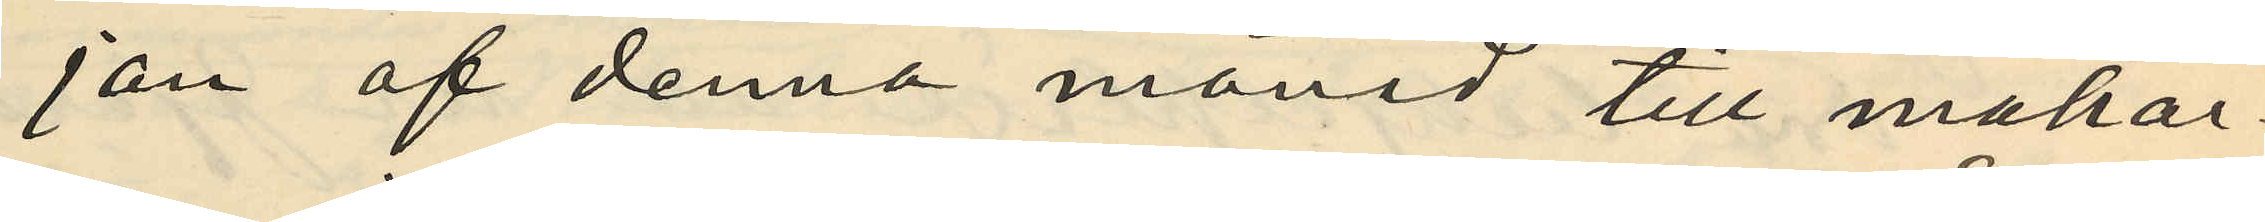jan af denna månad till makar¬
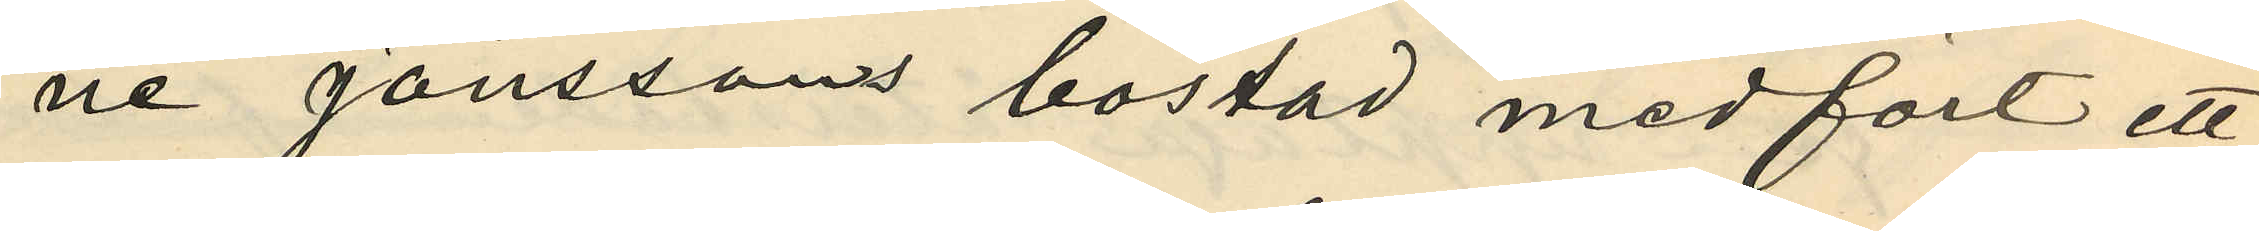ne Jönssons bostad medfört ett
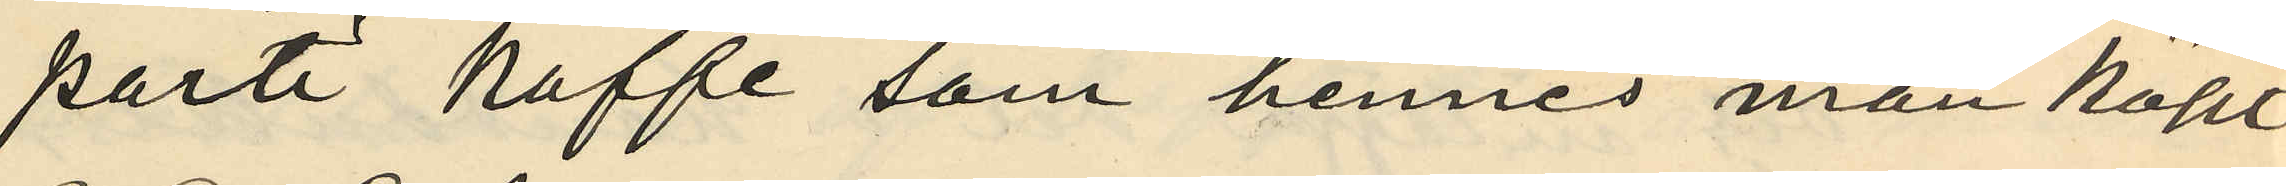parti kaffe som hennes man köpt
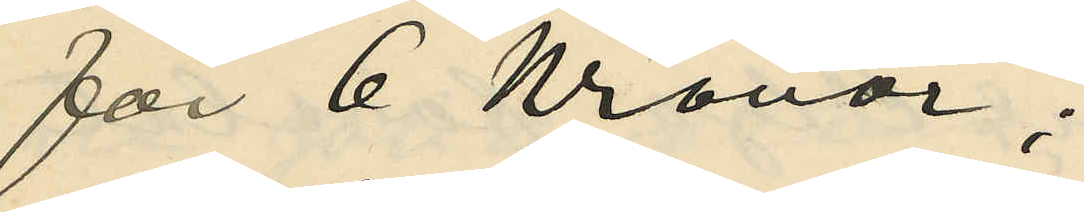för 6 Kronor;
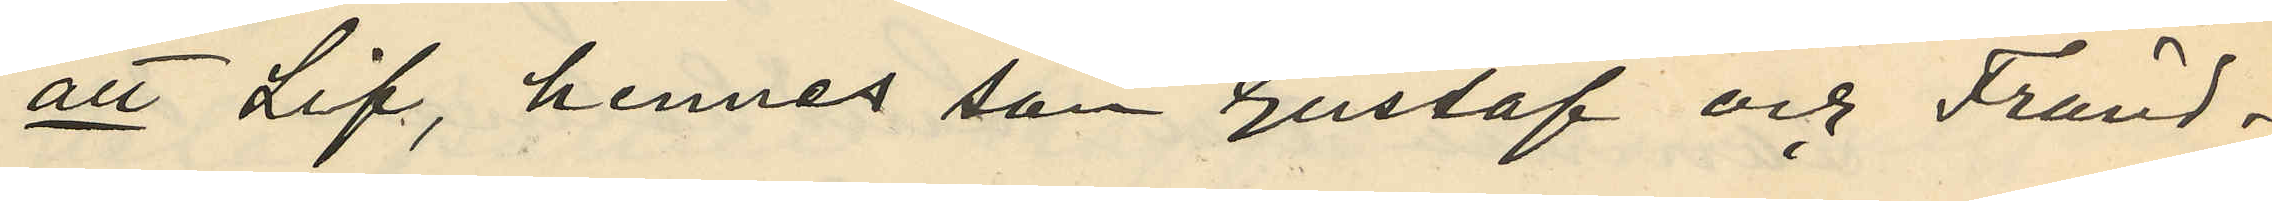att Lif, hennes son Gustaf och Fränd¬
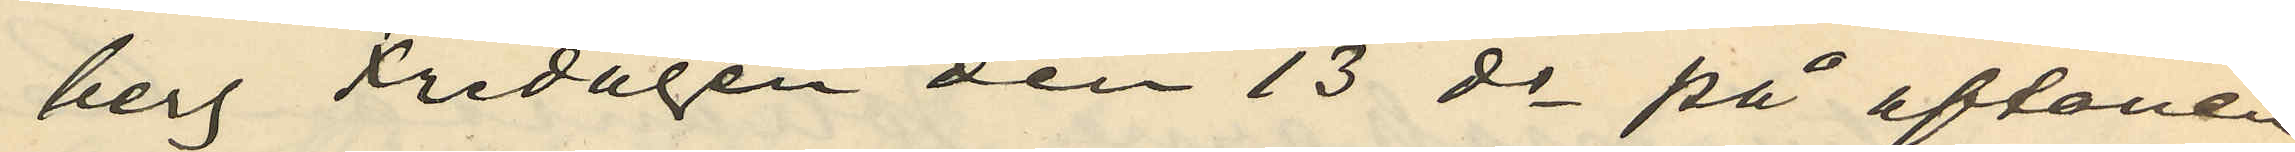berg Fredagen den 13 ds på aftonen
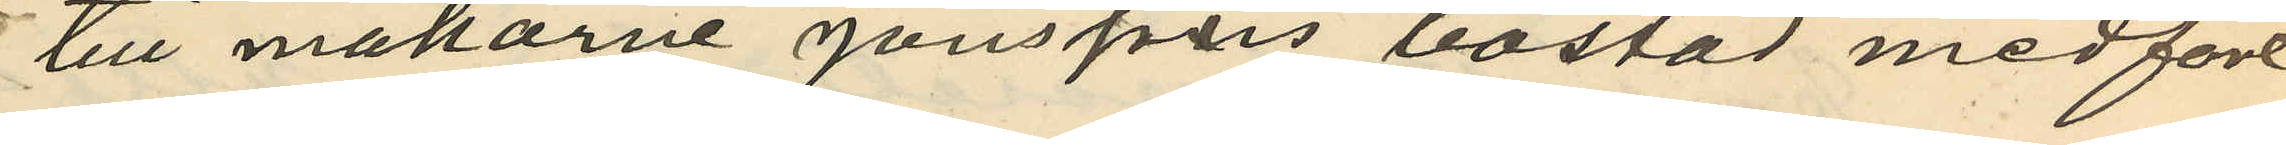till makarne Jönssons bostad medfört
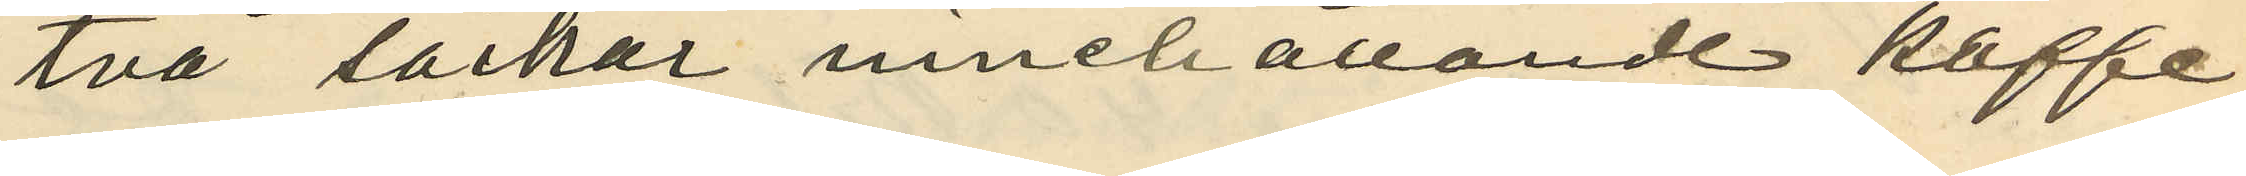två säckar innehållande kaffe,
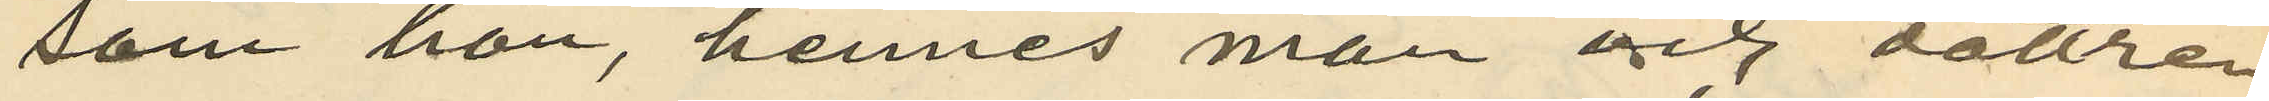som hon, hennes man och dottren
